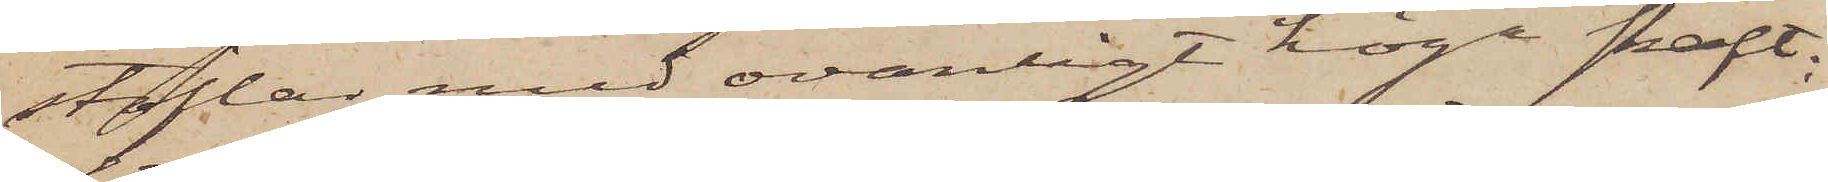stöflar med ovanligt höga skaft;
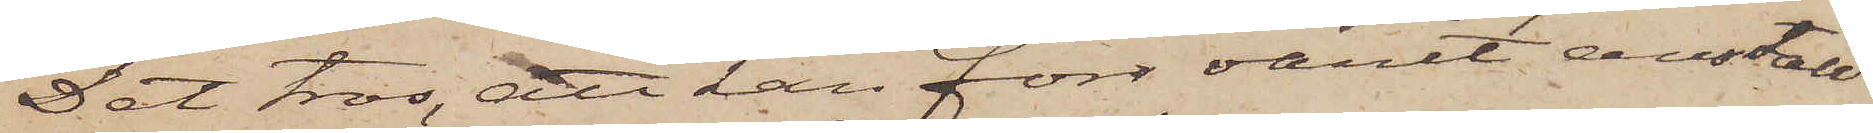Det tros, att han förr varit anställd
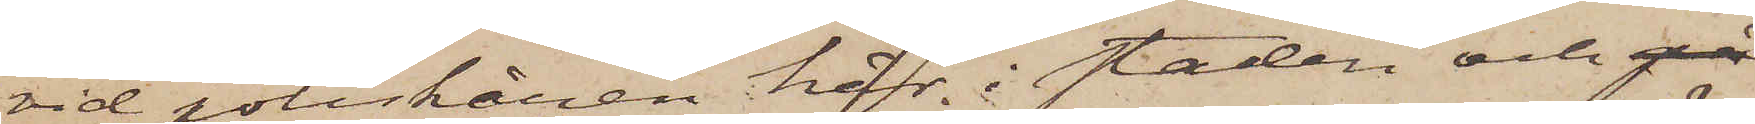vid poliskåren här i staden och på
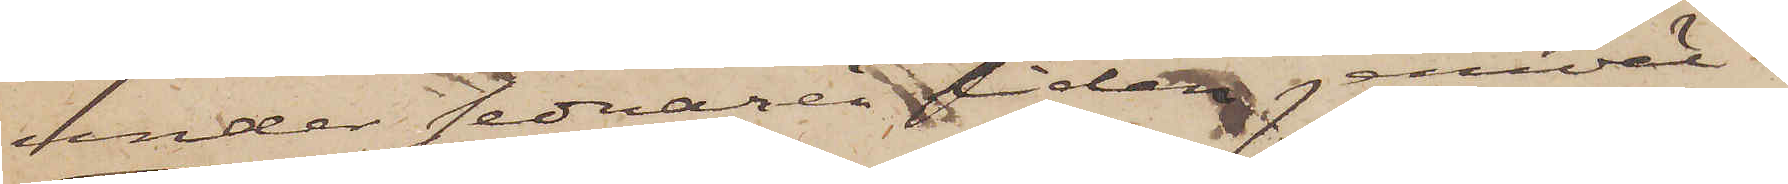under sednare tiden jemväl i
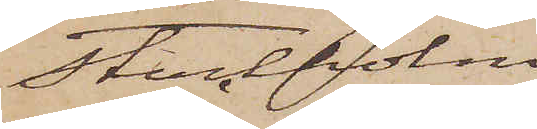Stockholm.
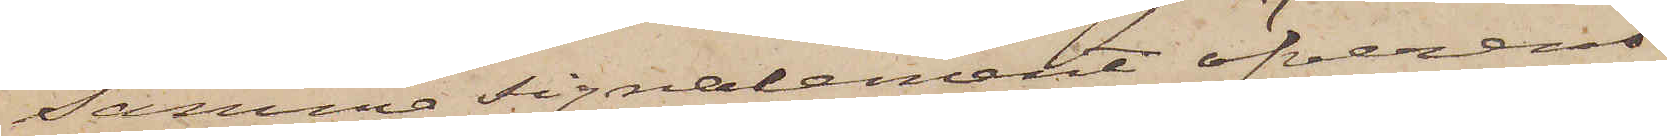Samma signalement öfverens¬
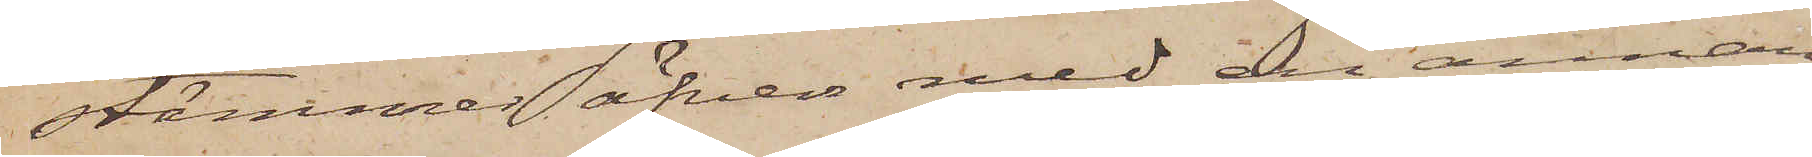stämmer äfven med en annan
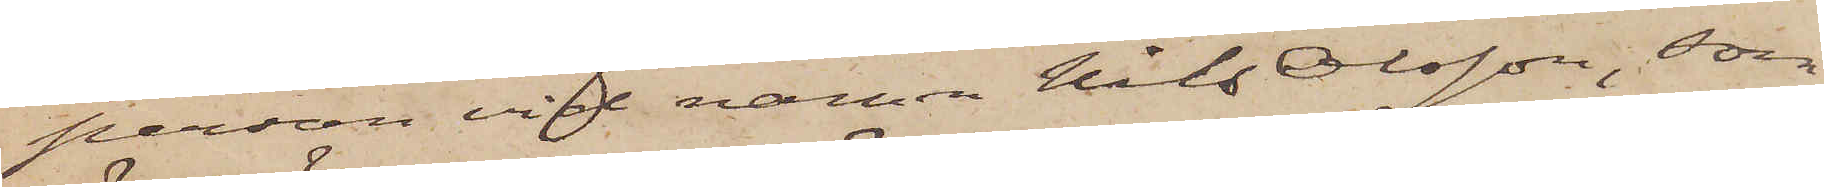person vid namn Nils Olsson, som
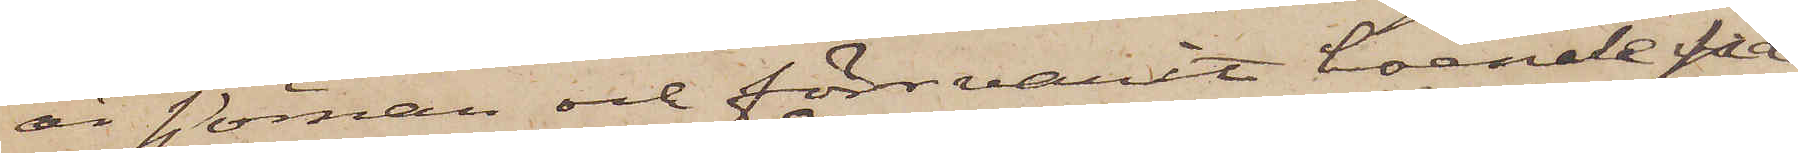är sjöman och förr varit boende på
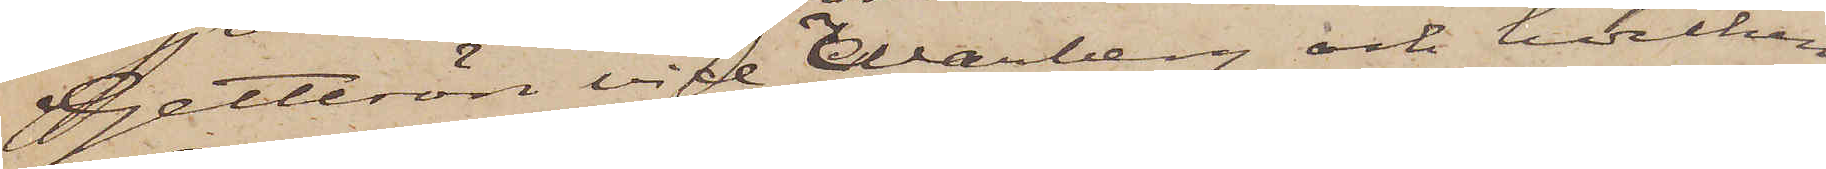Getterön vid Warberg och hvilken
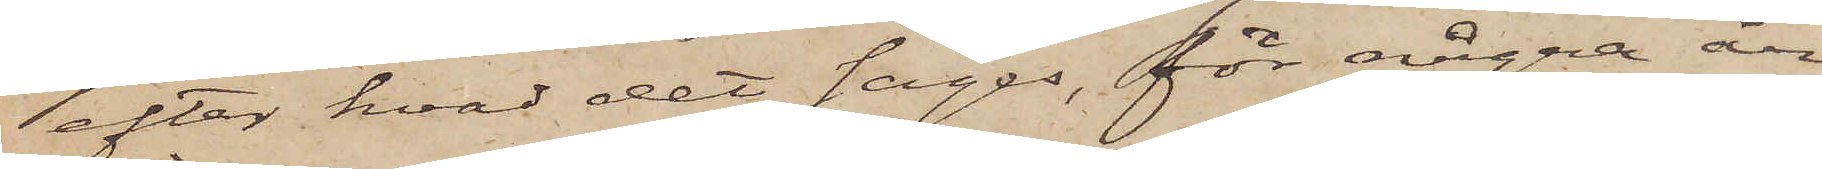efter hvad det säges, för några år
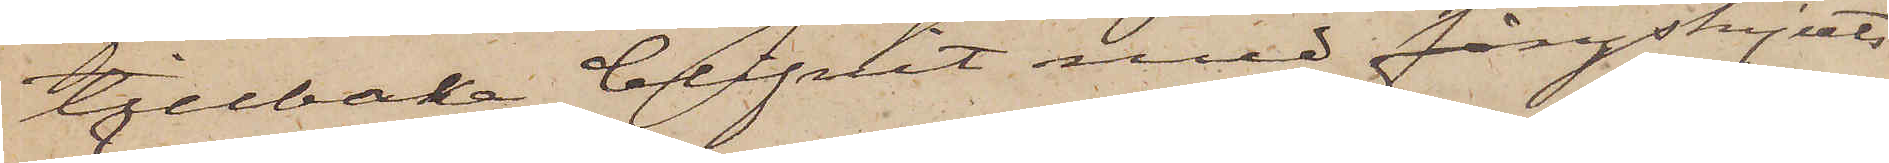tillbaka blifvit med fångskjuts
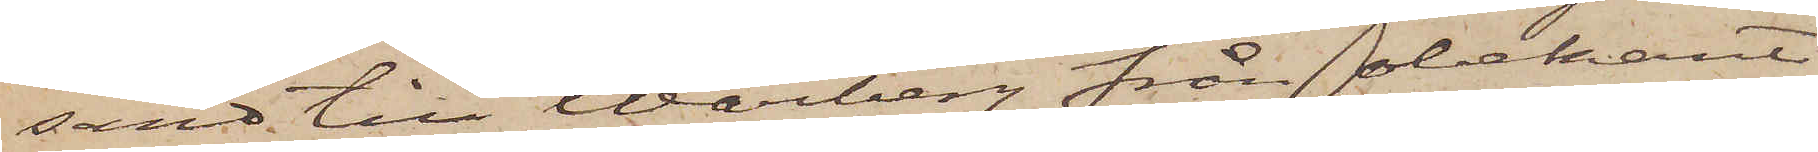sänd till Warberg från obekant
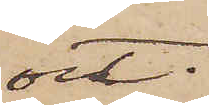ort.
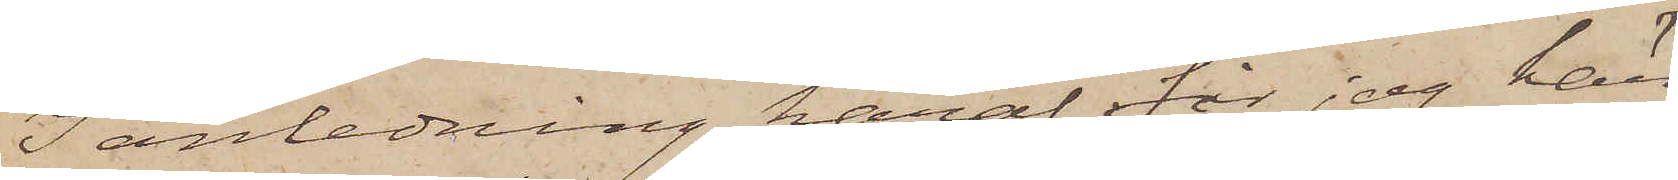I anledning häraf får jag här¬
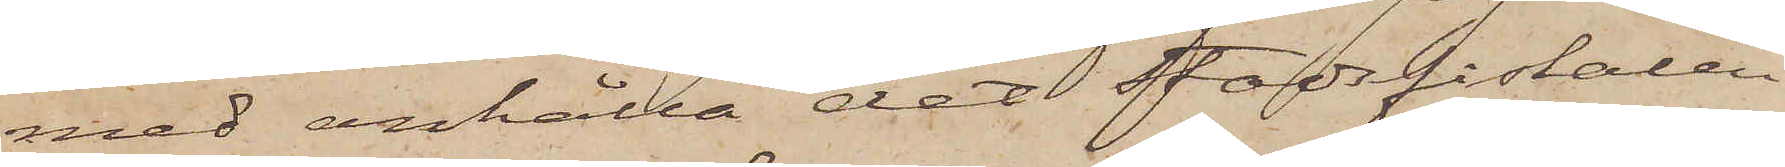med anhålla det Stadsfiskalen
